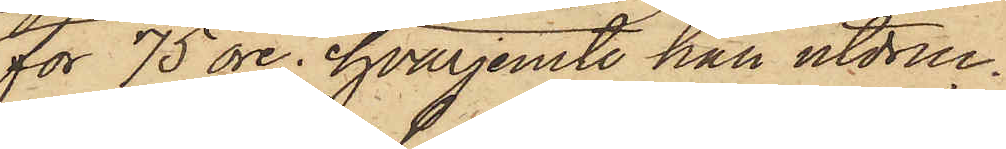för 75 öre, hvarjemte han utdruc¬
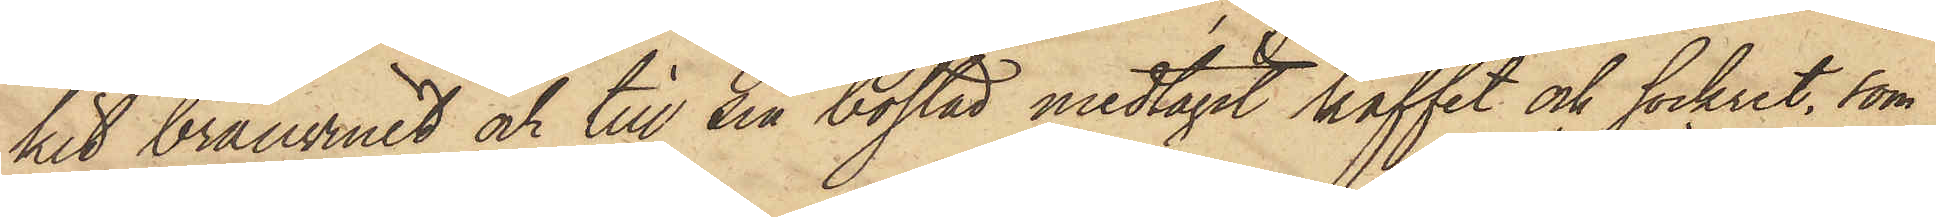kit bränvinet och till sin bostad medtagit kaffet och sockret, som
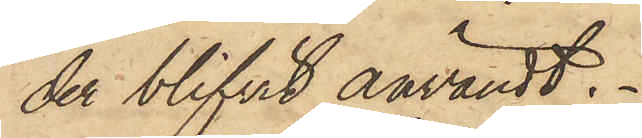der blifvit användt.
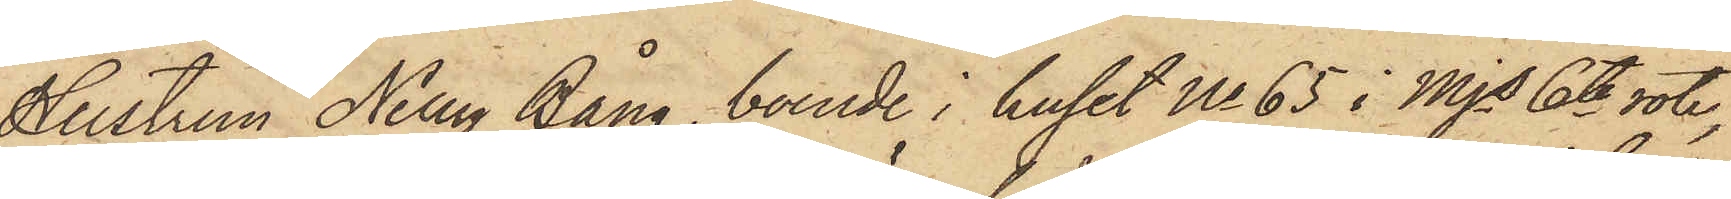Hustrun Nelly Bång, boende i huset No 65 i Mjs 6te rote,
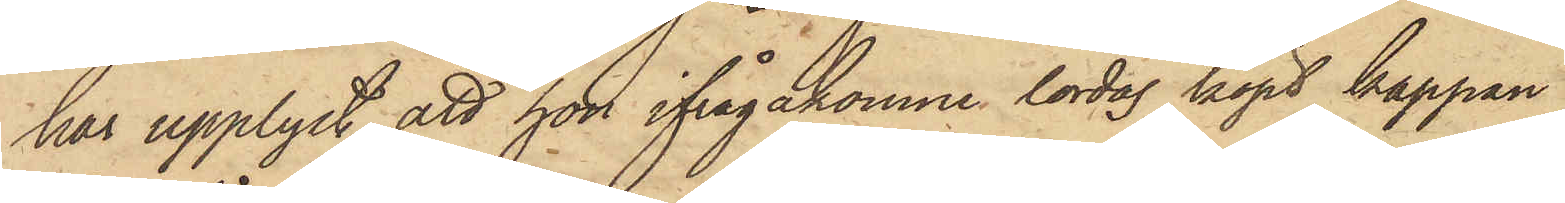har upplyst, att hon ifrågakomne lördag köpt kappan
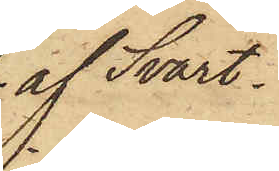af Svart¬
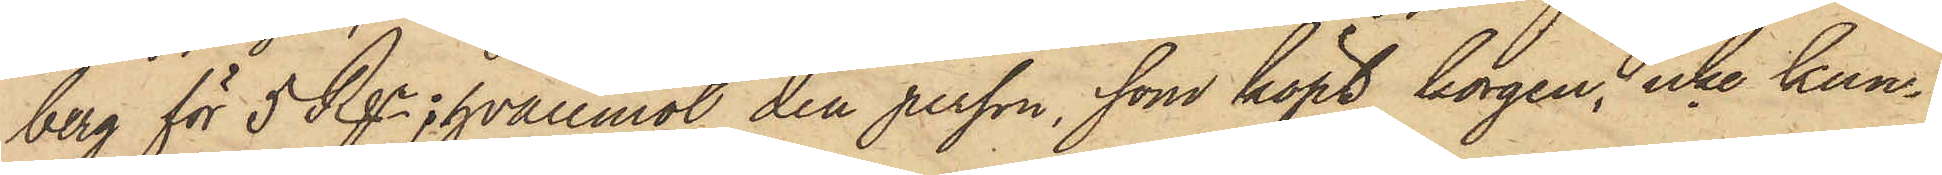berg för 5 Rgr, hvaremot den person, som köpt korgen, icke kun¬
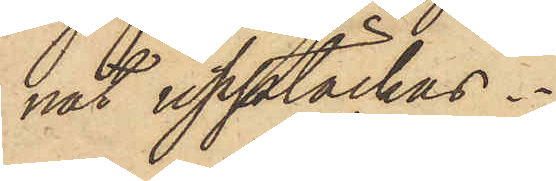nat upptäckas.
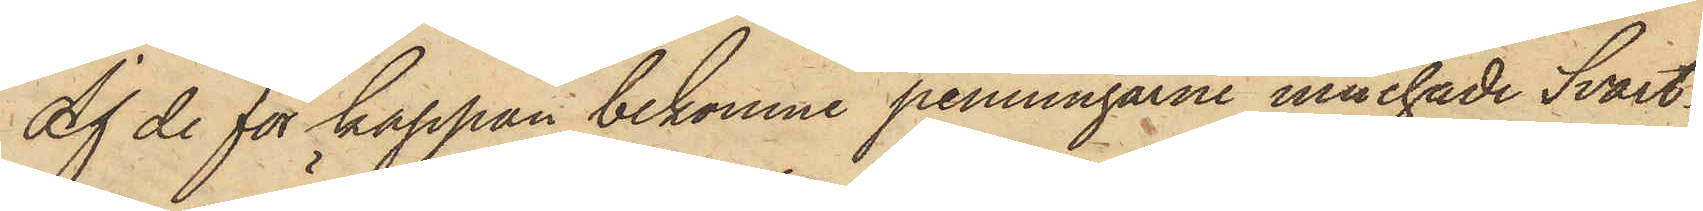Af de för kappan bekomne penningarne innehade Svart¬
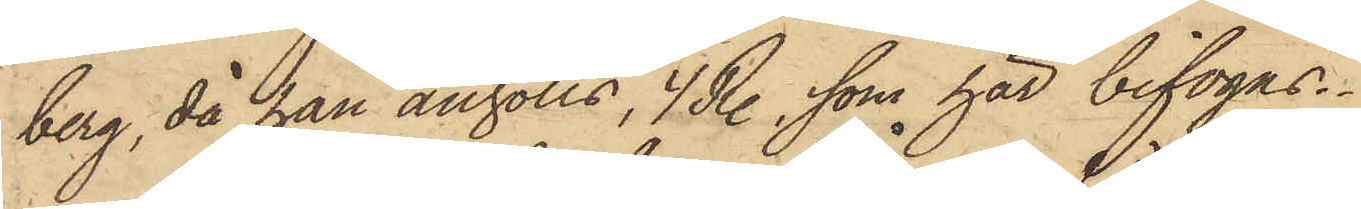berg, då han anhölls, 4 R., som här bifogas.
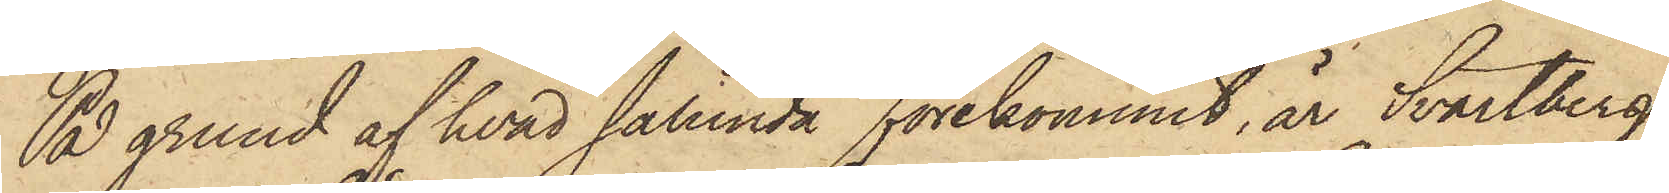På grund af hvad sålunda förekommit, är Svartberg
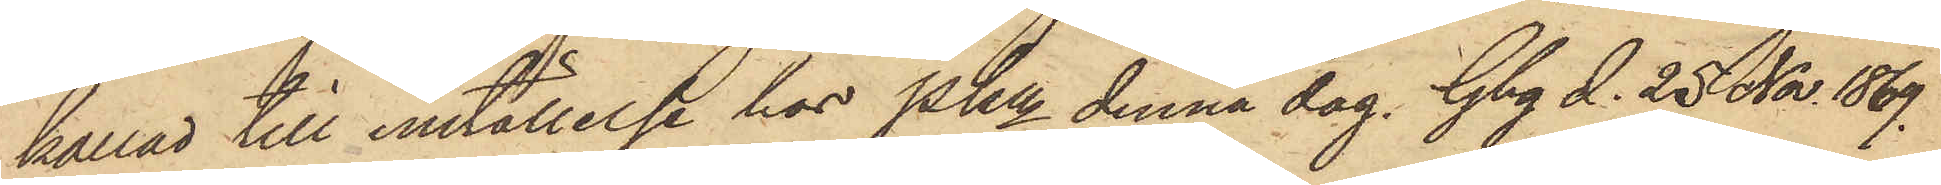kallad till inställelse hos Pkn denna dag. Gbg d. 25 Nov. 1869.
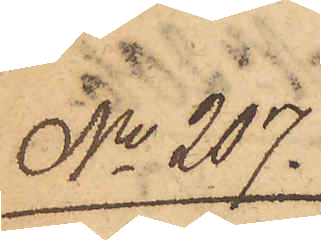No 207.
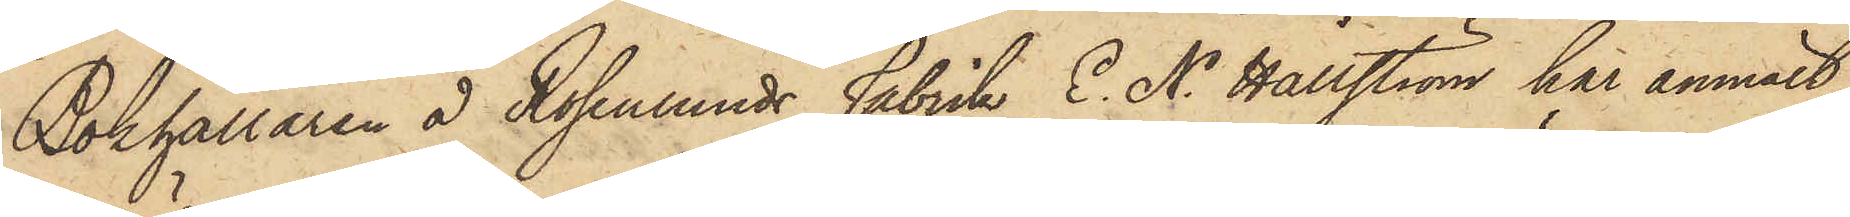Bokhållaren å Rosenlunds Fabrik E. N. Hallström har anmält,
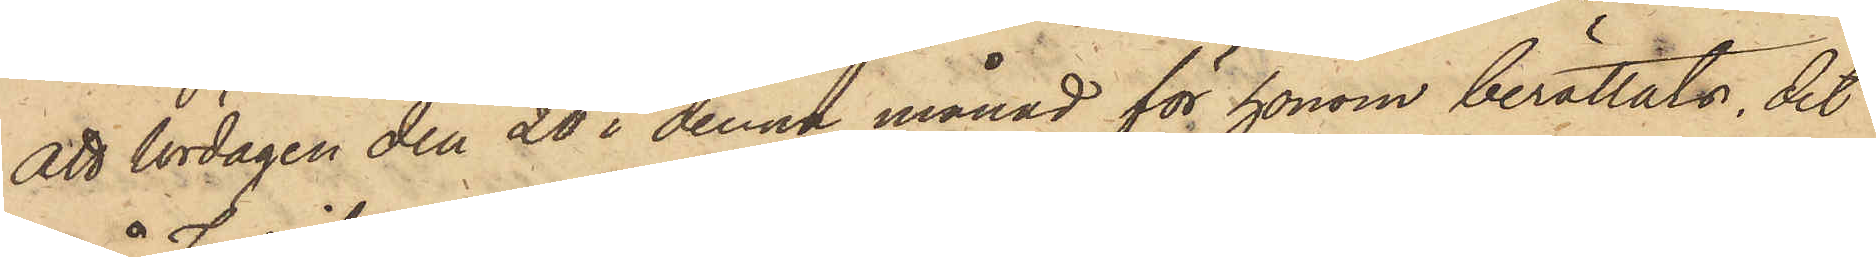att lördagen den 20 i denna månad för honom berättats, det
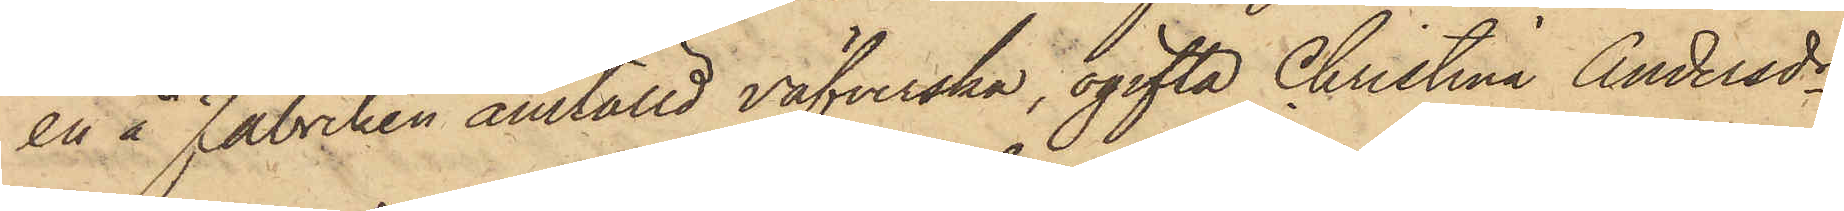en å Fabriken anställd väfverska, ogifta Christina Andersdr,
